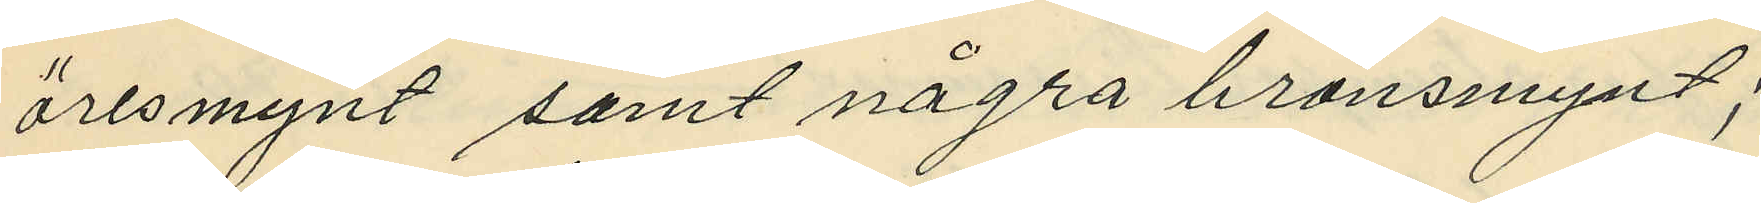öresmynt samt några bronsmynt;
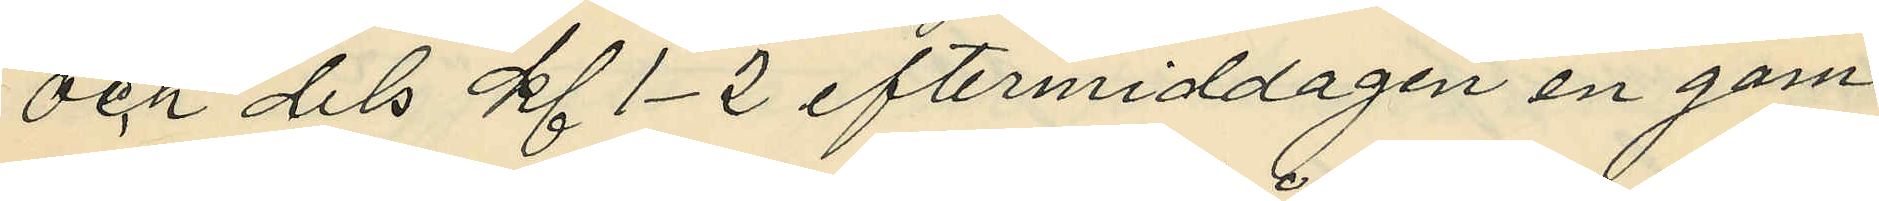och dels kl. 1-2 eftermiddagen en gam¬
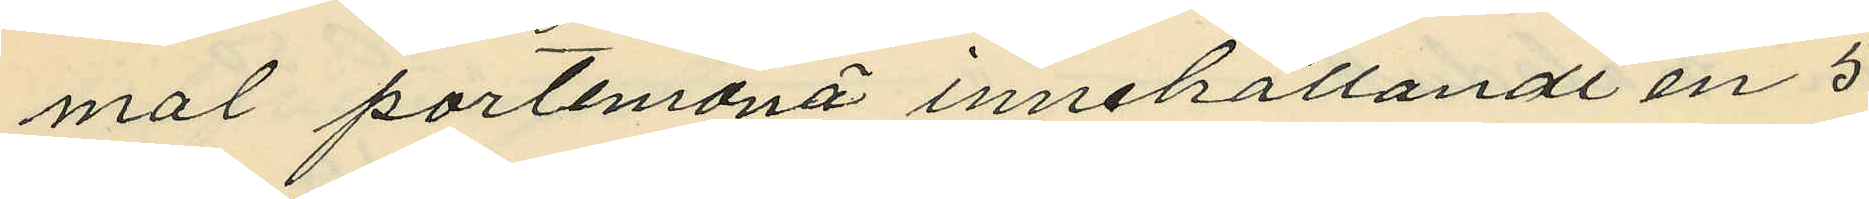mal portemonä innehållande en 5
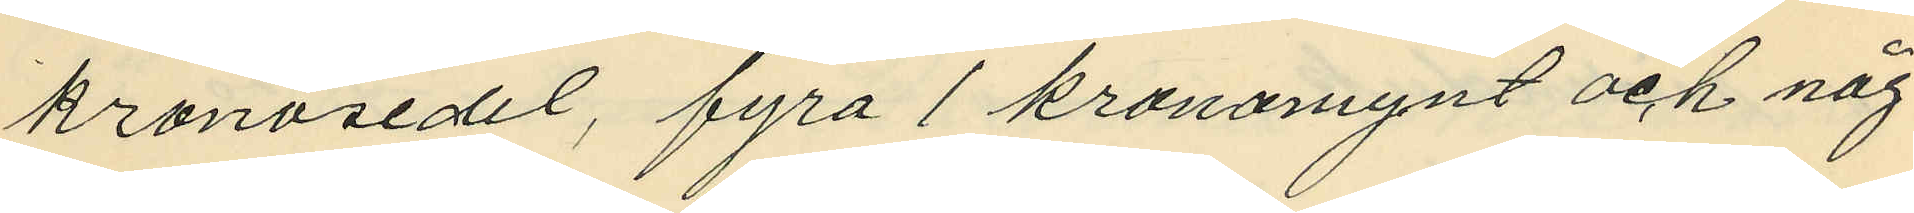kronosedel, fyra 1 kronomynt och någ¬
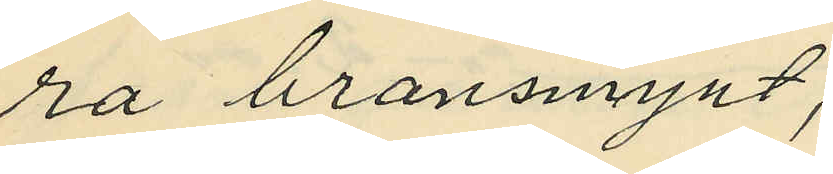ra bronsmynt;
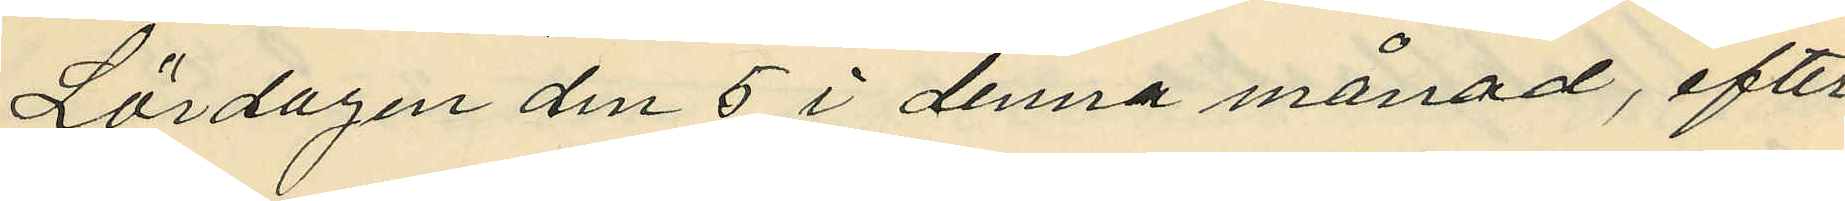Lördagen den 5 i denna månad, efter
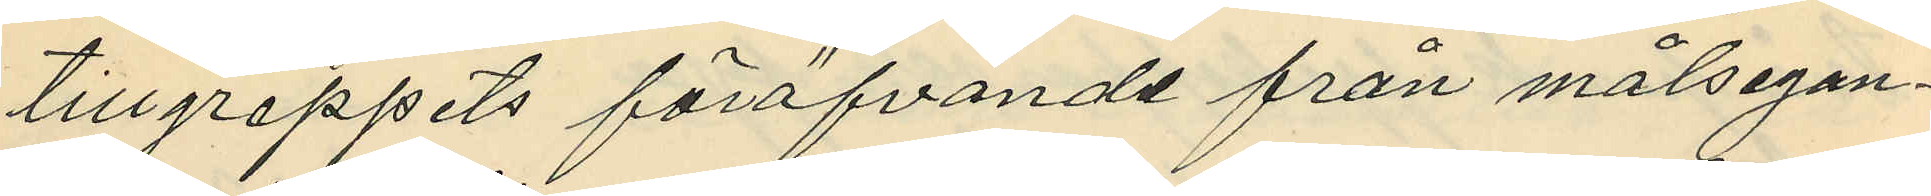tillgreppets föröfvande från målsegan¬
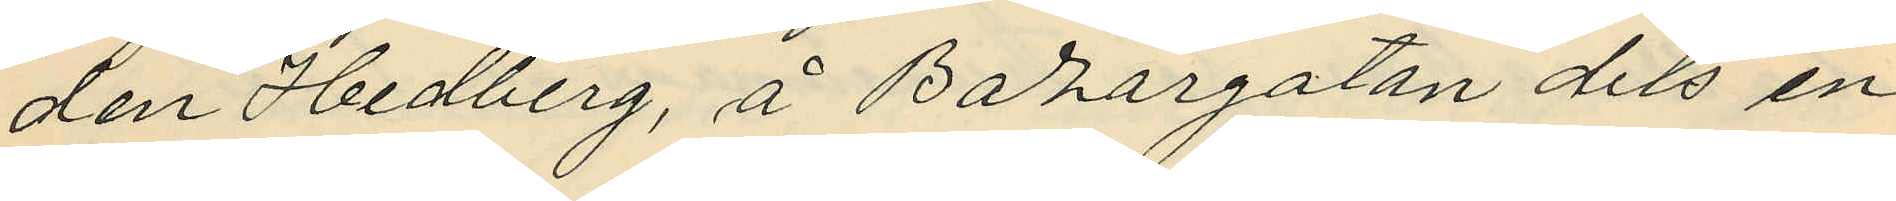den Hedberg, å Bazargatan dels en
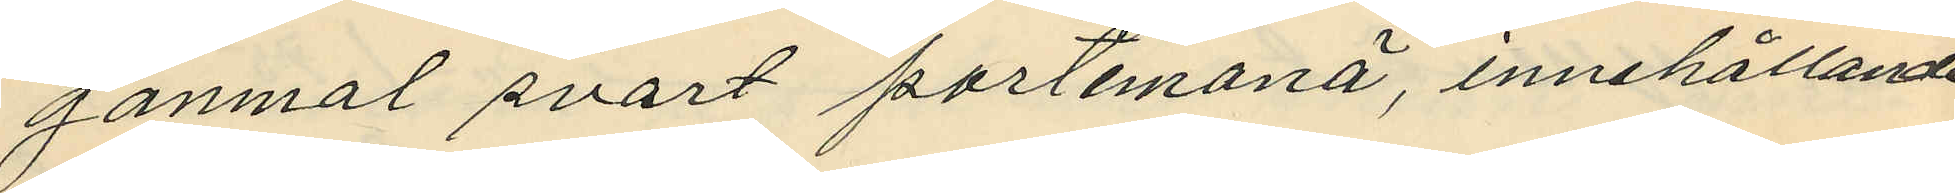ganmal svart portemonä, innehållande
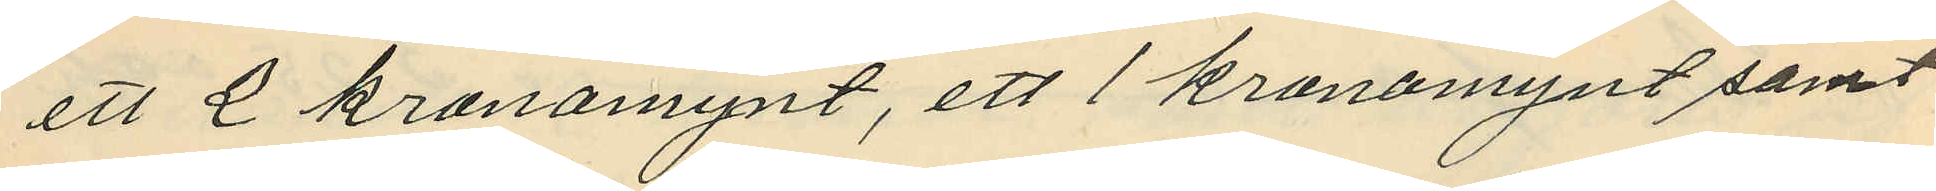ett 2 kronomynt, ett 1 kronomynt samt
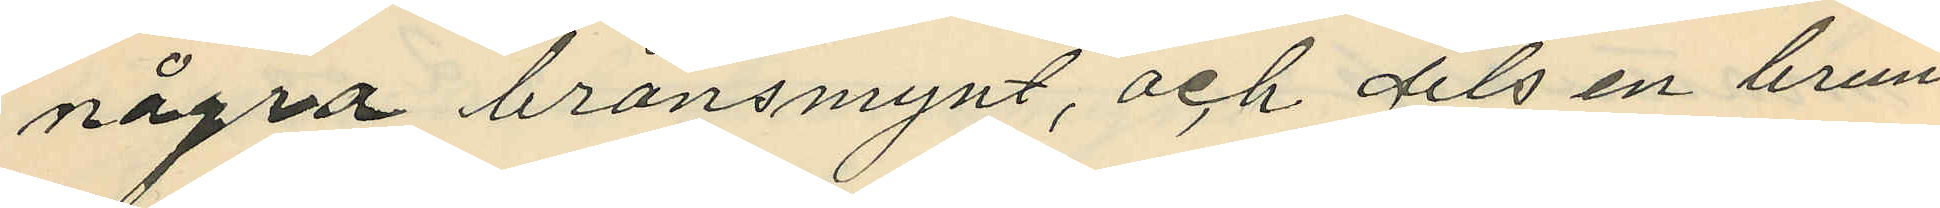några bronsmynt, och dels en brun
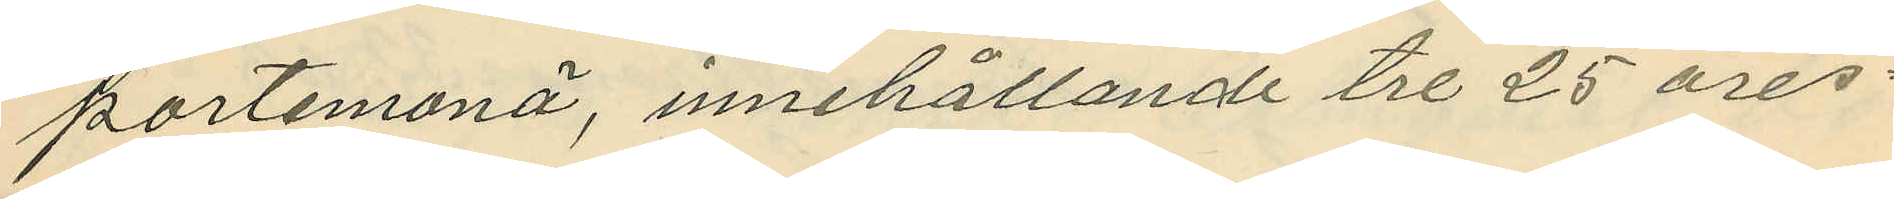portemonä, innehållande tre 25 öres¬
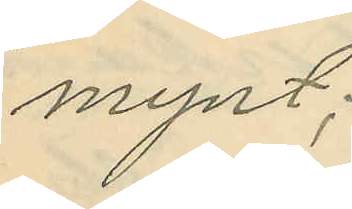mynt;
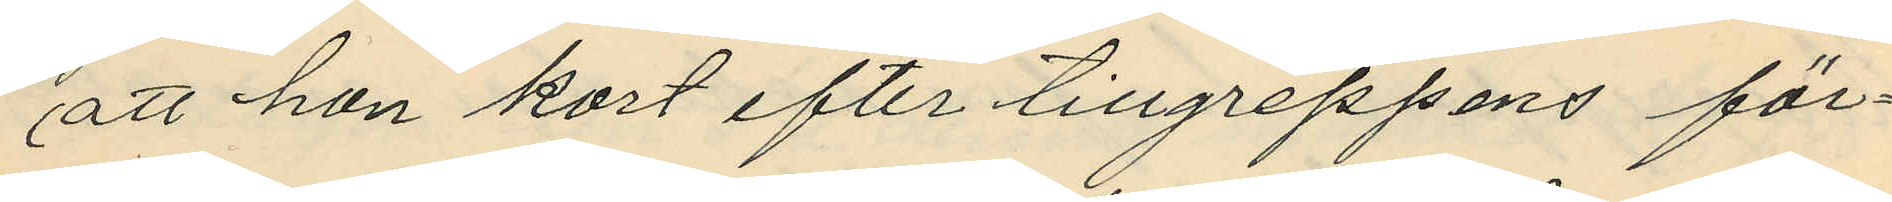att hon kort efter tillgreppens för¬
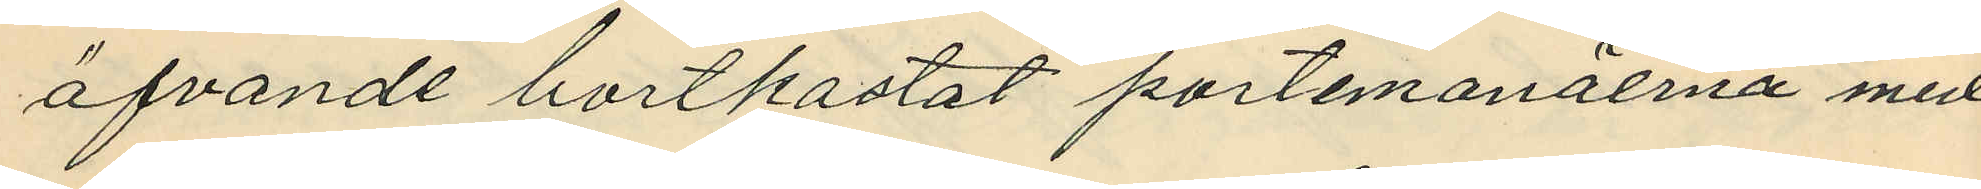öfvande bortkastat portemonäerna med
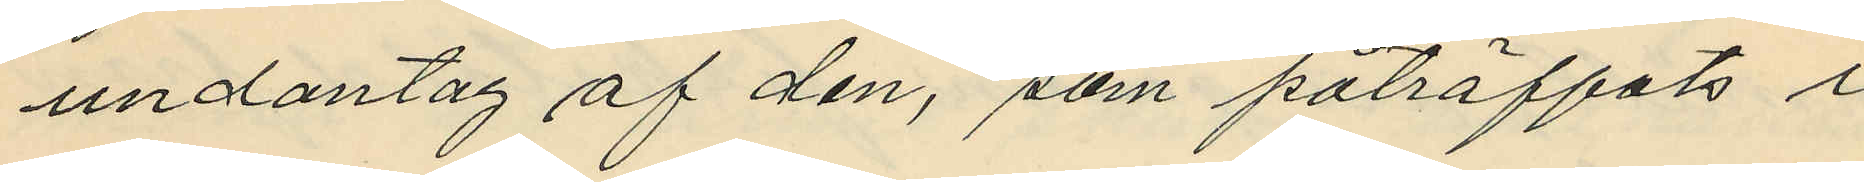undantag af den, som påträffats i
